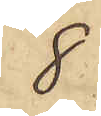8
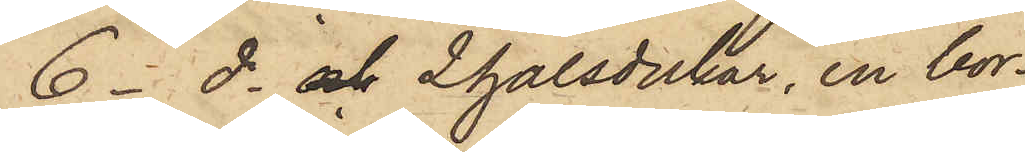6 - do och 2 halsdukar, en bor¬
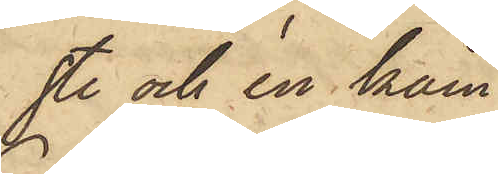ste och en kam
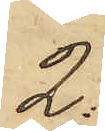2:
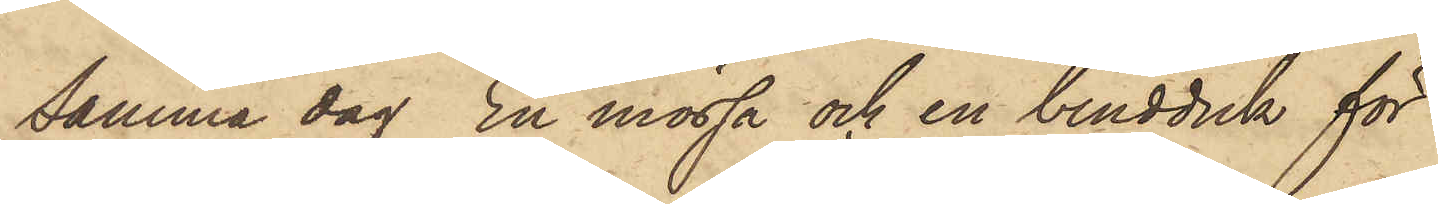Samma dag En mössa och en bindduk för
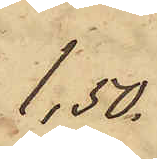1,50.
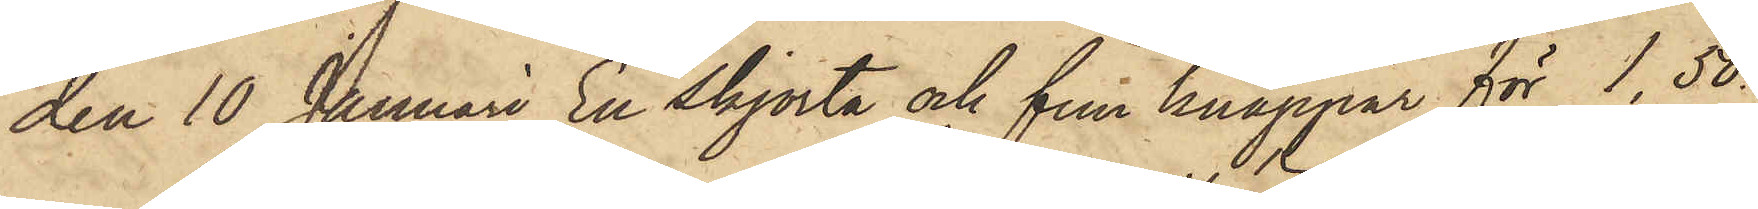den 10 Januari En skjorta och fem knappar för 1,50.
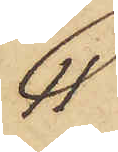11
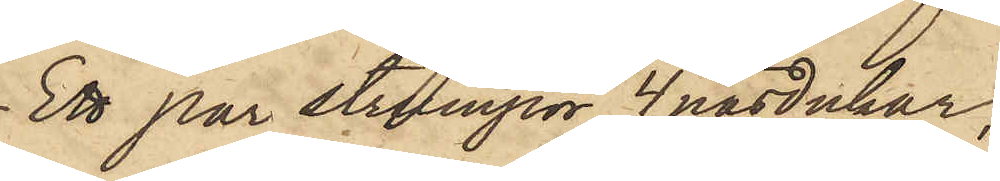Ett par strumpor, 4 näsdukar,
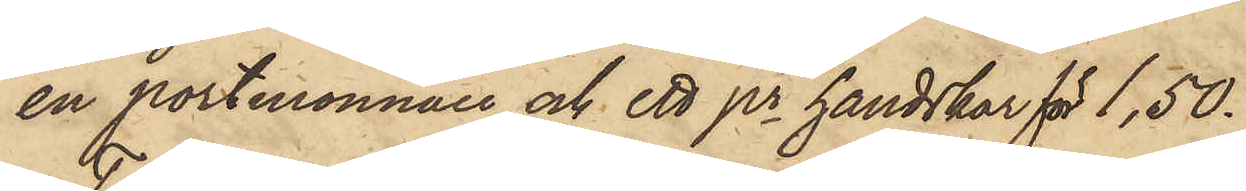en portmonnaie och ett pr handskar för 1,50.
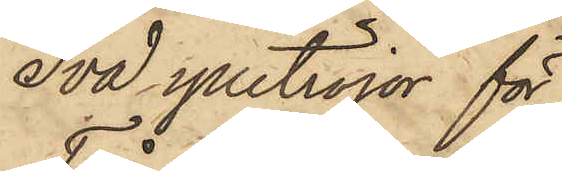Två ylletröjor för
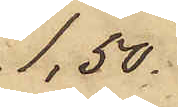1,50.
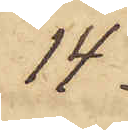14
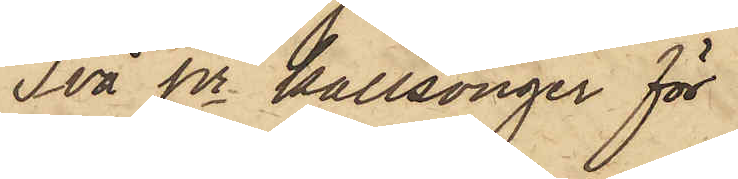Två pr kallsonger för
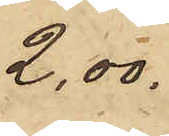2,00.
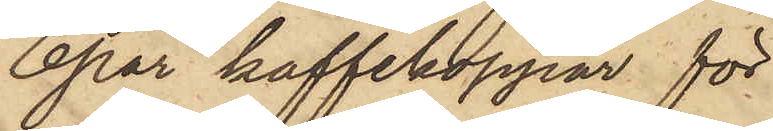6 par kaffekoppar för
